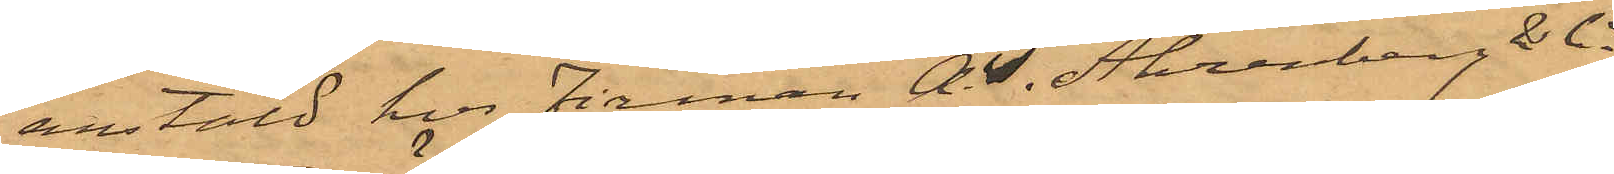anstäld hos Firman A. T. Ahrenberg & Co
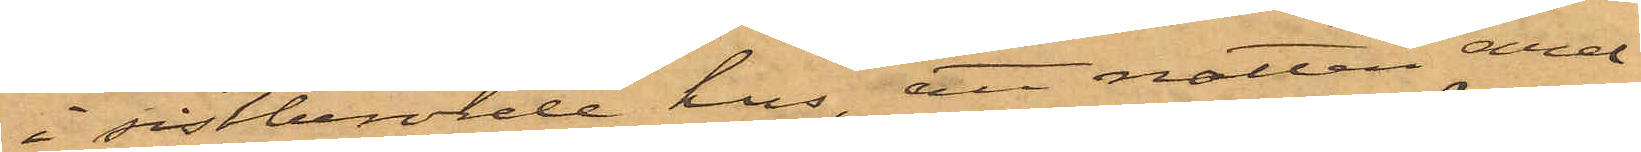i sistberörde hus, att natten emel¬
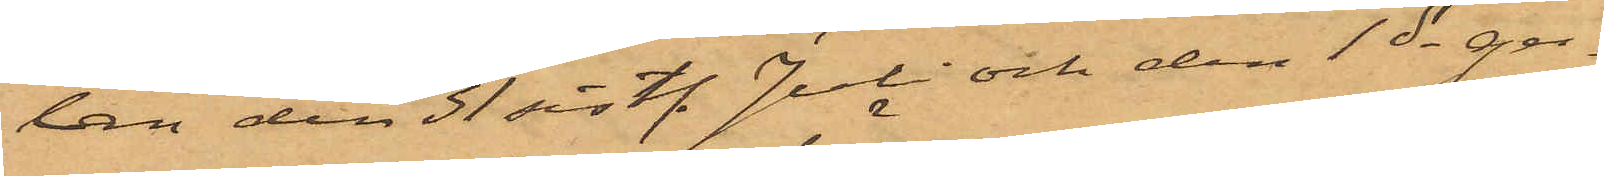lan den 31 sist. Juli och den 1ds ge¬
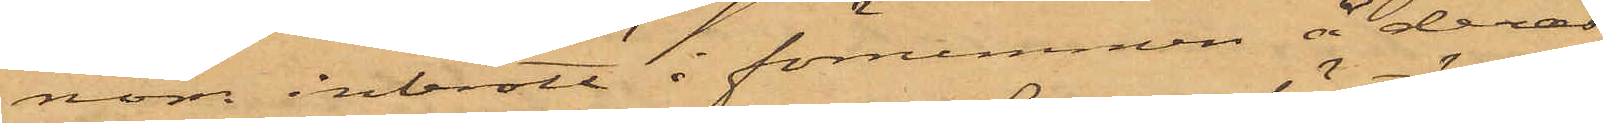nom inbrott i förrummen å deras
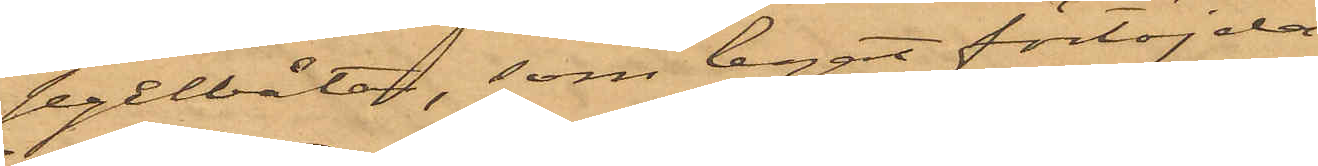segelbåtar, som legat förtöjda
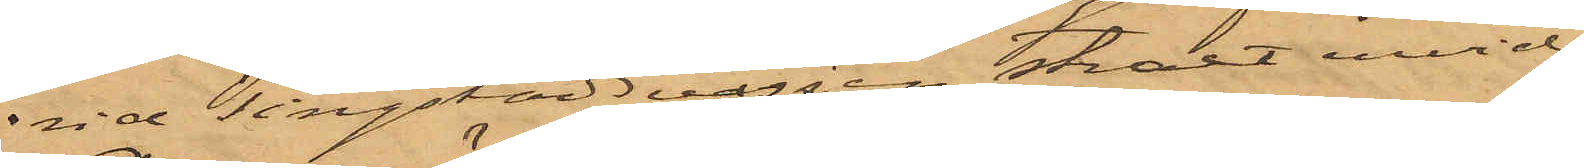vid Tingstadsvassen straxt invid
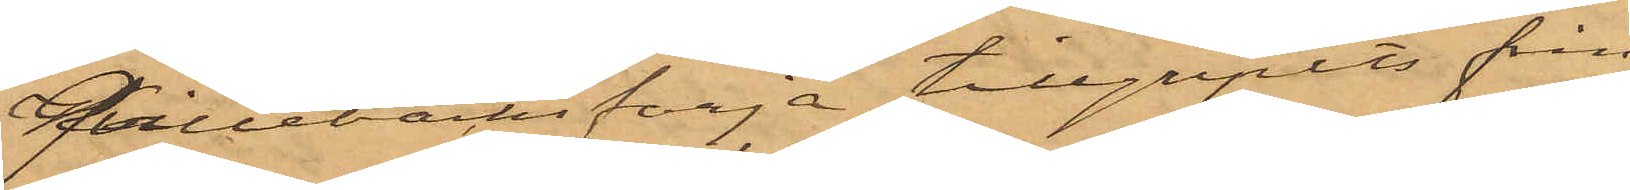Qvillebäcks färja,  tillgripits från
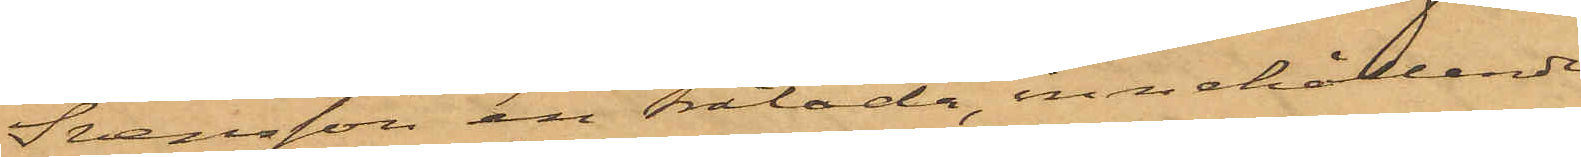Svensson en trälåda, innehållande
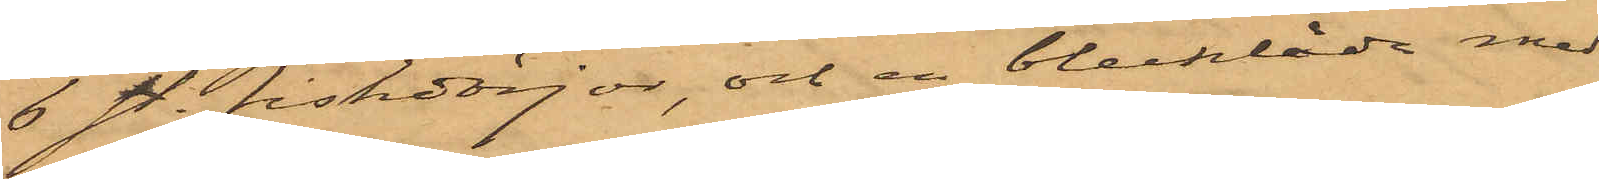6 sty. fiskdörjar, och en blecklåda med
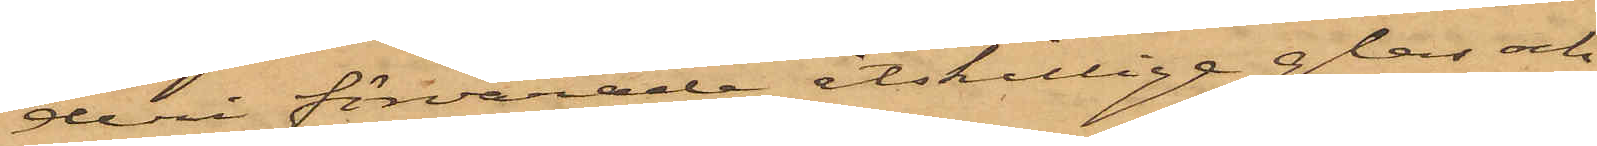deri förvarade åtskillige glas och
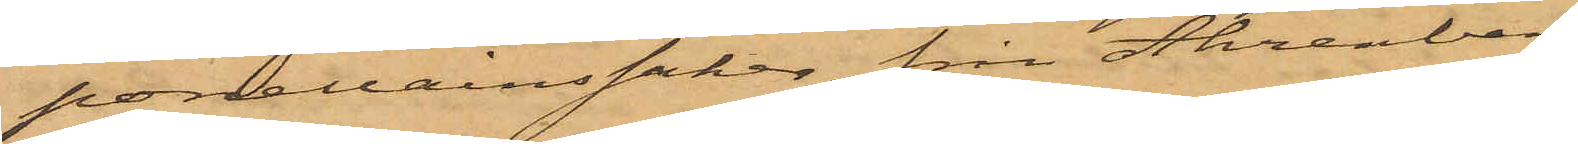porcelainssaker, från Ahrenberg
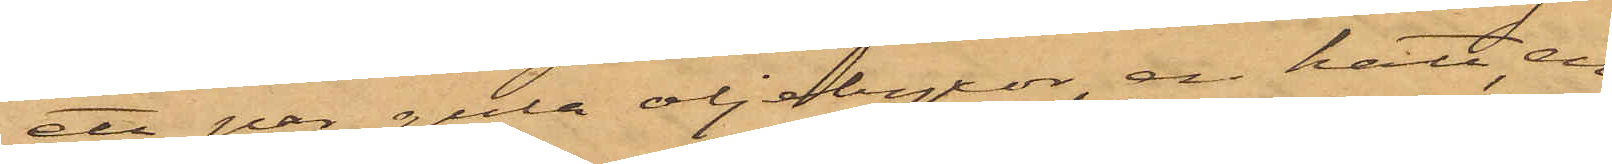ett par gula oljebyxor, en hatt, en
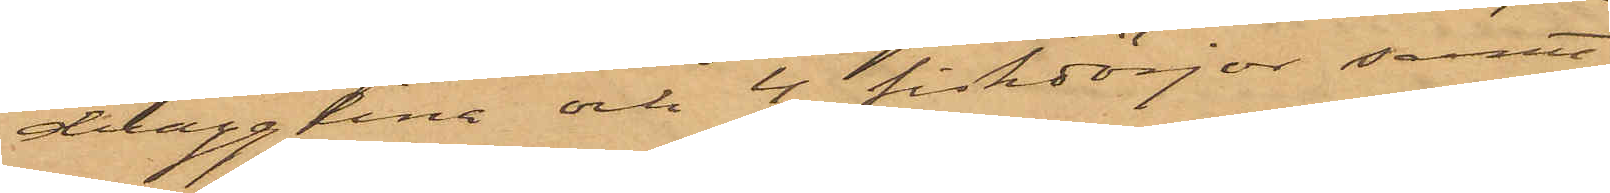dragglina och 4 fiskdörjar samt
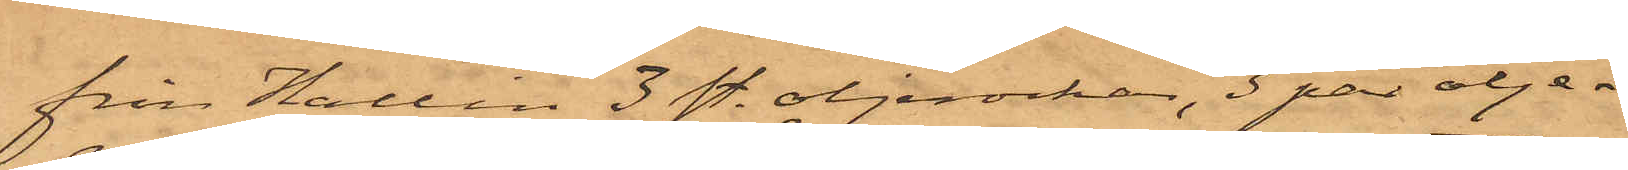från Hallin 3 sty. oljerockar, 3 par olje¬
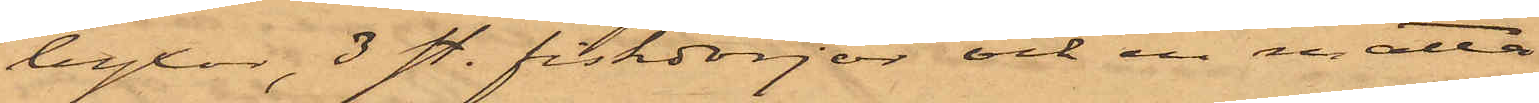byxor, 3 sty. fiskdörjar och en matta
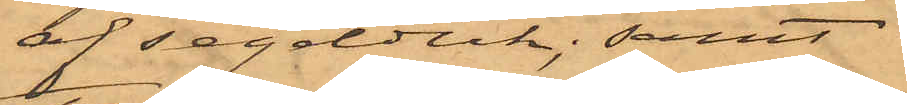af segelduk; samt
